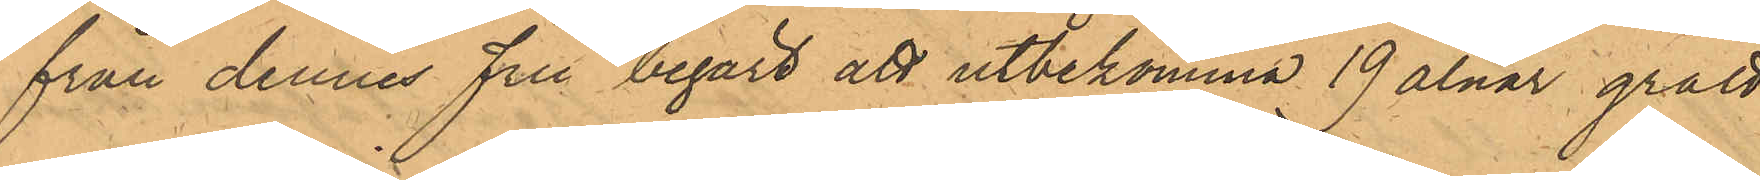från dennes fru begärt att utbekomma 19 alnar grått
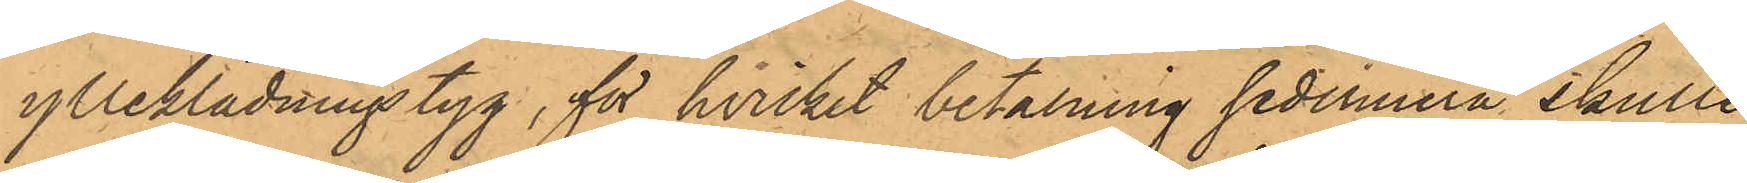ylleklädningstyg, för hvilket betalning sedermera skulle
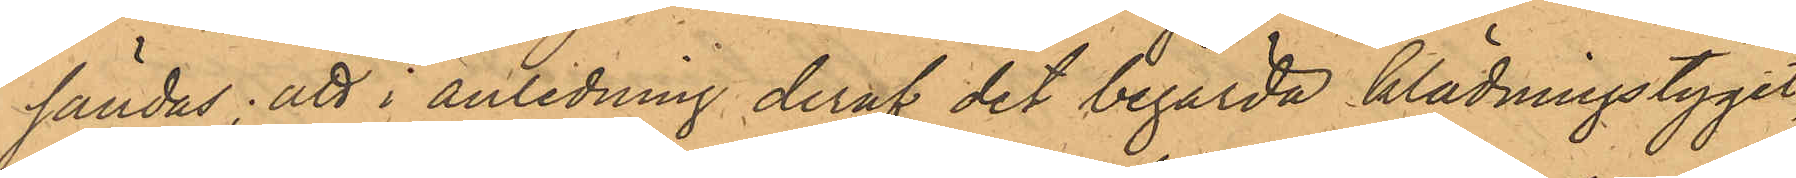sändas; att i anledning deraf det begärda klädningstyget,
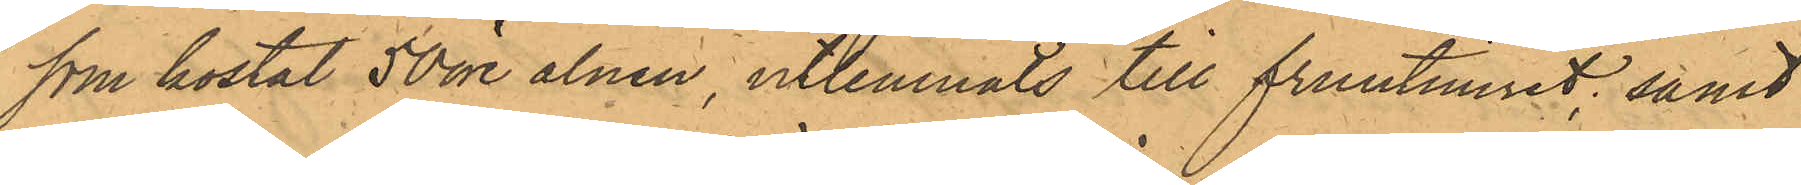som kostat 50 öre alnen, utlemnats till fruntimret; samt
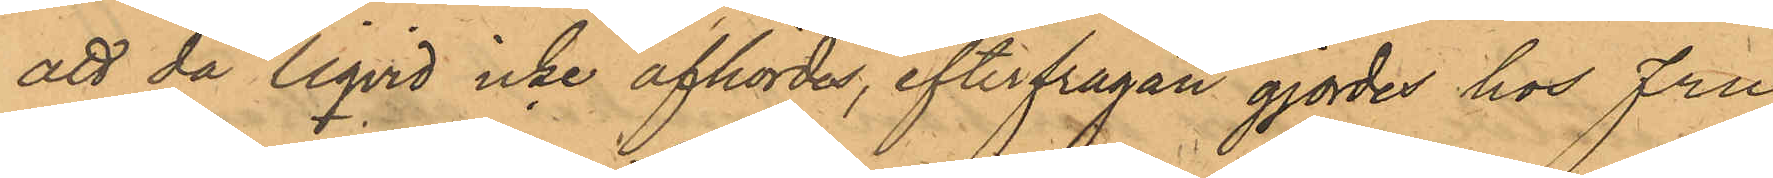att då liqvid icke afhördes, efterfrågan gjordes hos Fru
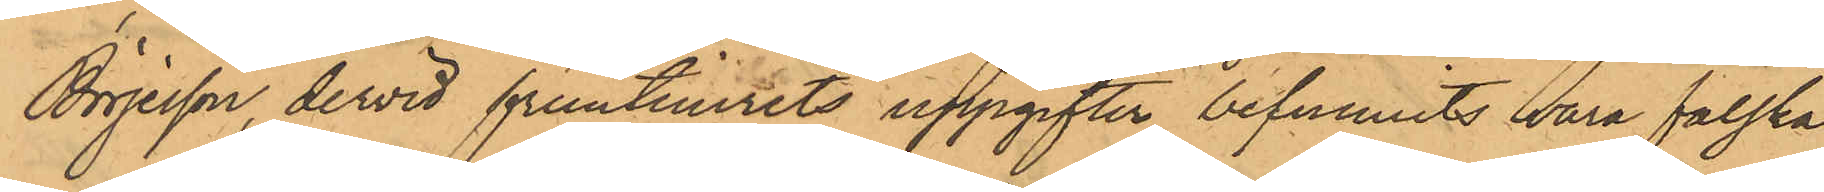Börjesson, dervid fruntimrets uppgifter befunnits vara falska.
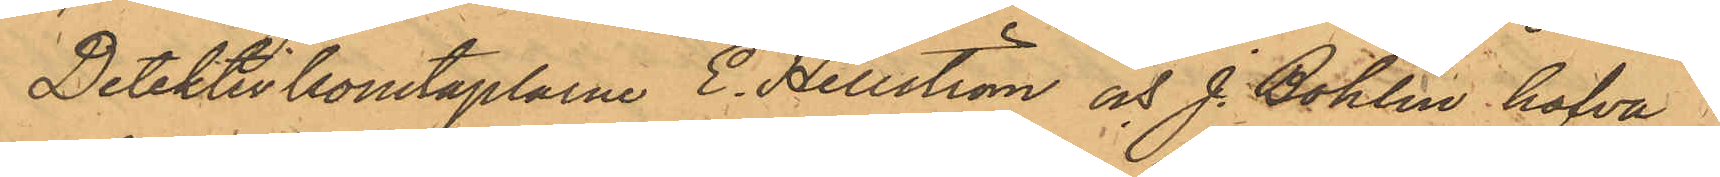Detektivkonstaplarne E. Hellström och J. Bohlin hafva i
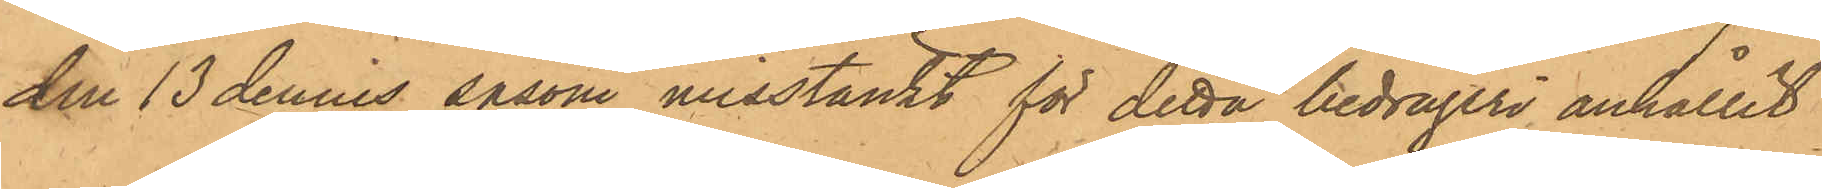den 13 dennes såsom misstänkt för detta bedrägeri anhållit
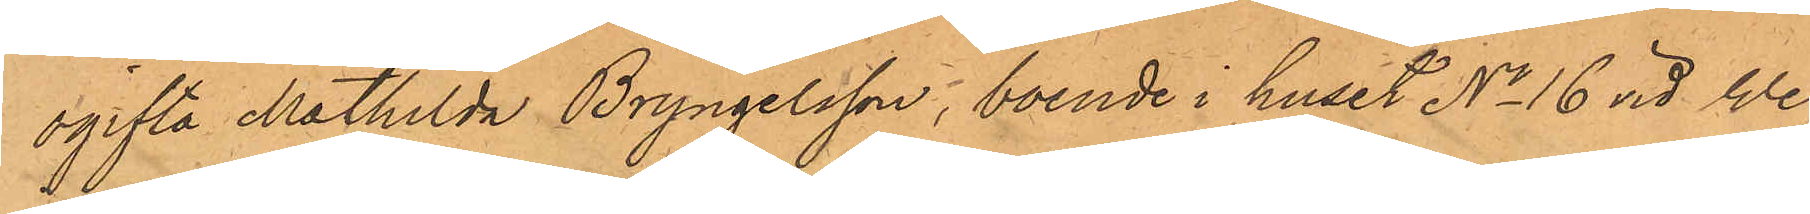ogifta Mathilda Bryngelsson, boende i huset No 16 vid We¬
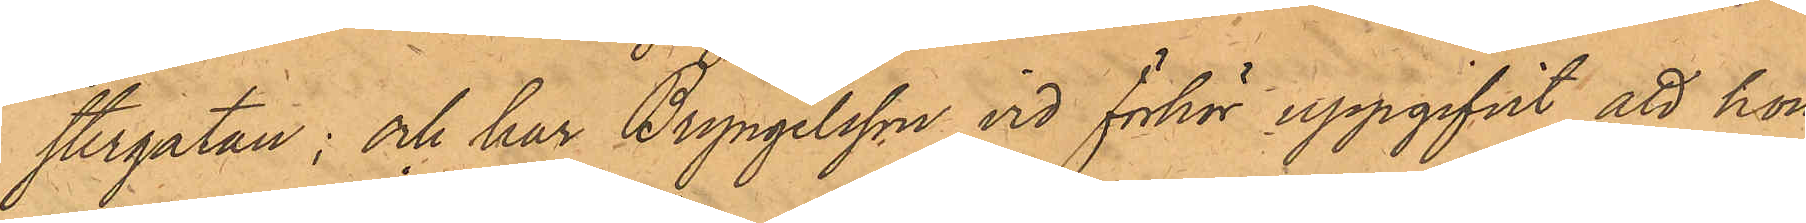stergatan; och har Bryngelsson vid förhör uppgifvit, att hon,
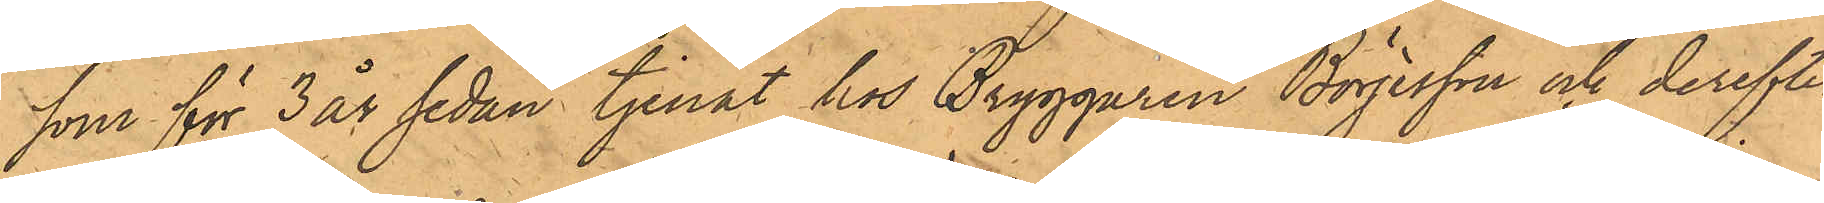som för 3 år sedan tjenat hos Bryggaren Börjesson och derefter
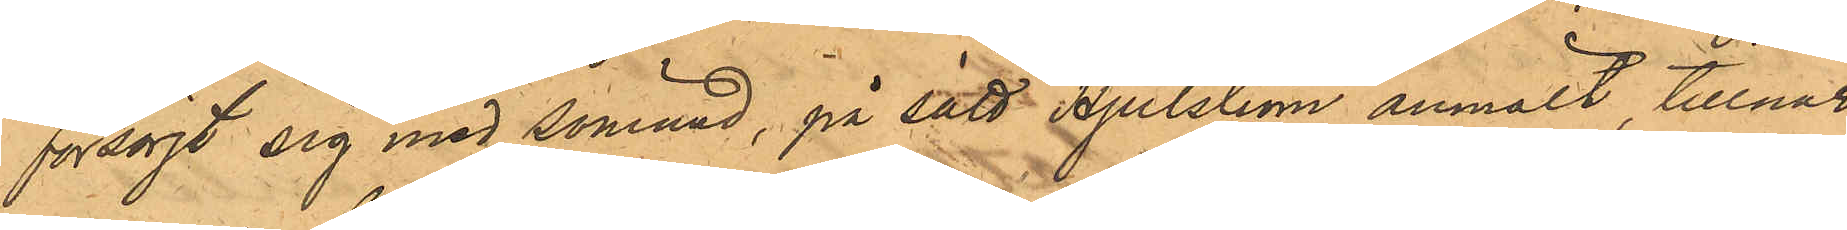försörjt sig med sömnad, på sätt Hjulström anmält tillnar¬
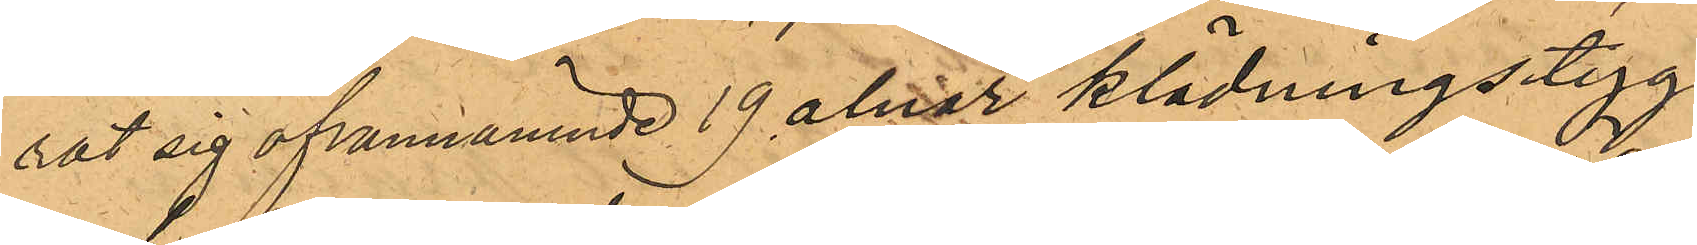rat sig ofvannämnde 19 alnar klädningstyg
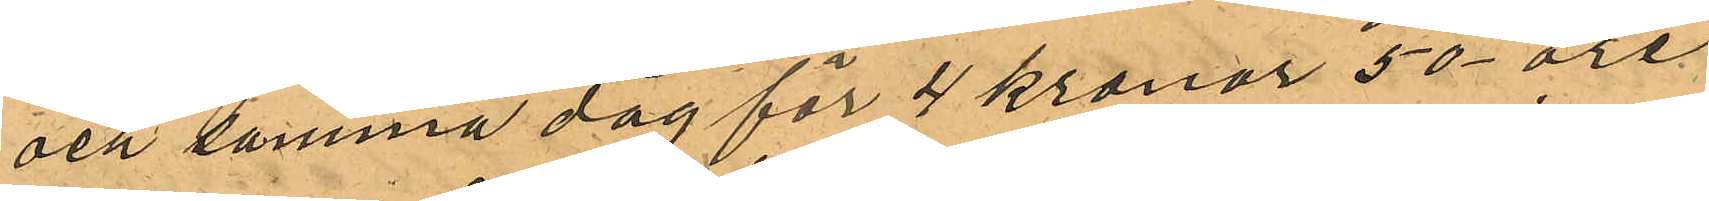och samma dag för 4 kronor 50 öre,
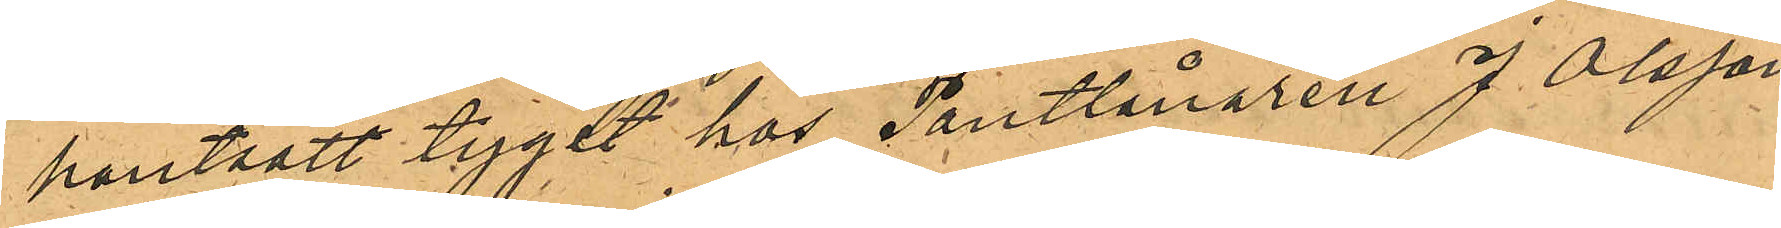pantsatt tyget hos Pantlånaren J. Olsson
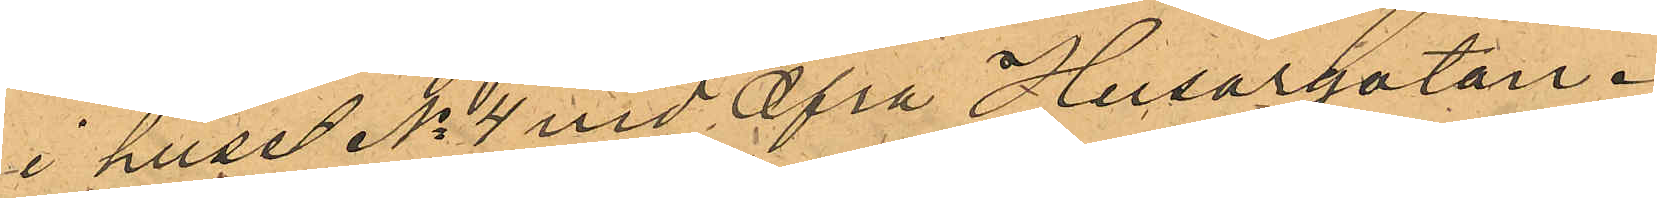i huset No 4 vid Öfra Husargatan.
